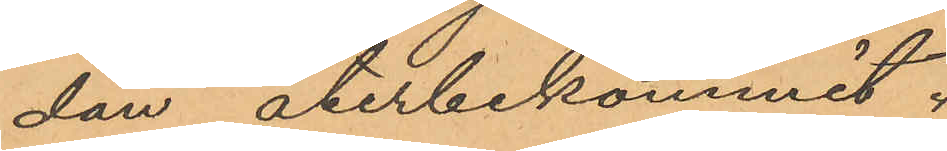dan återbekommit.
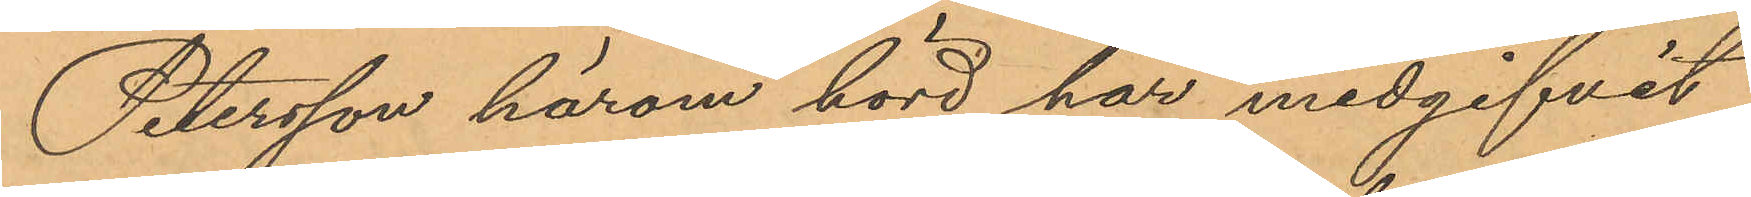Petersson härom hörd har medgifvit
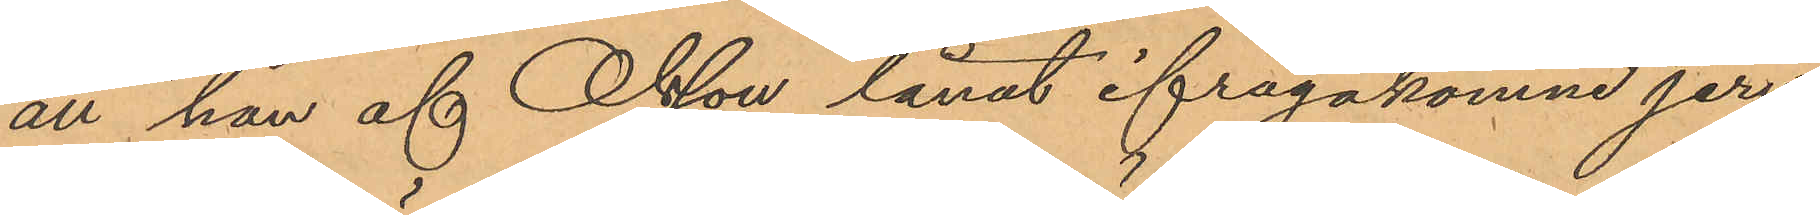att han af Olsson lånat ifrågakomne jern,
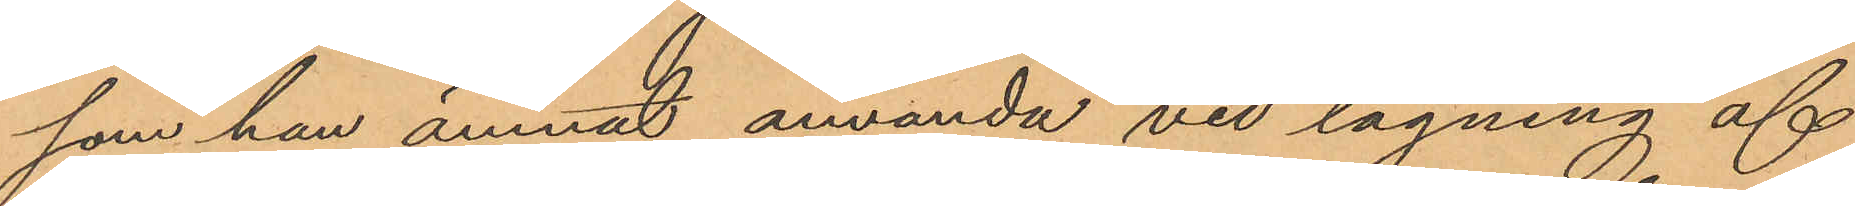som han ämnat använda vid lagning af
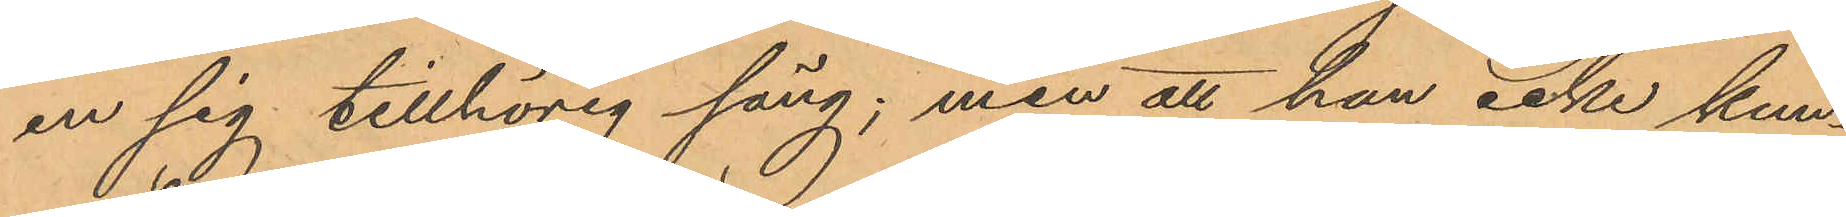en sig tillhörig säng, men att han icke kun¬
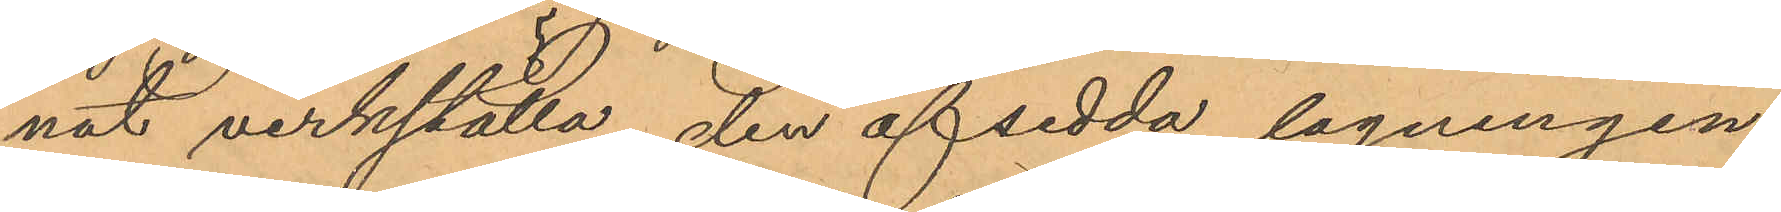nat verkställa den afsedda lagningen,
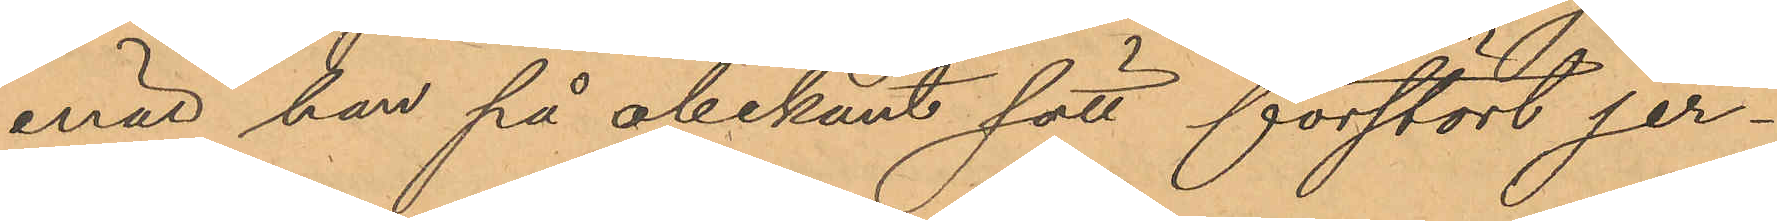enär han på obekant sätt förstört jer¬
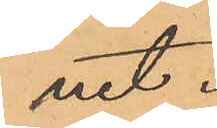net.
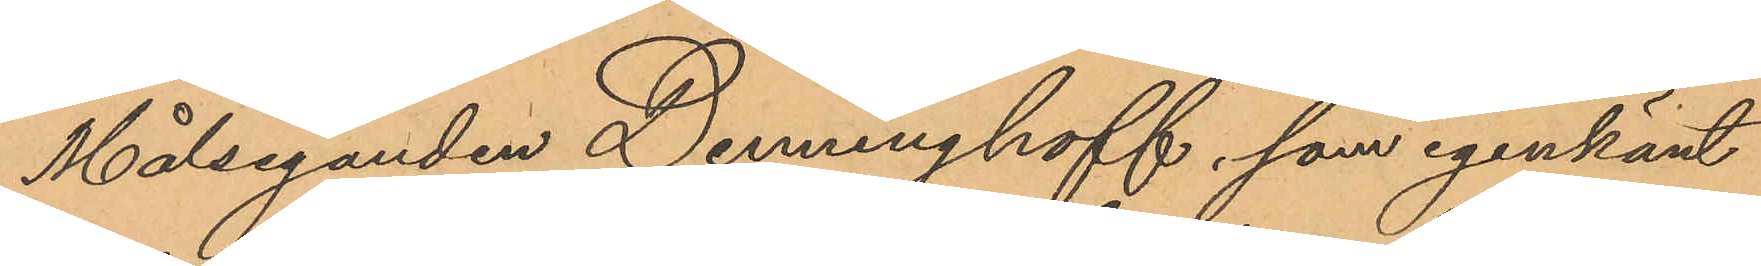Målseganden Denninghoff, som igenkänt
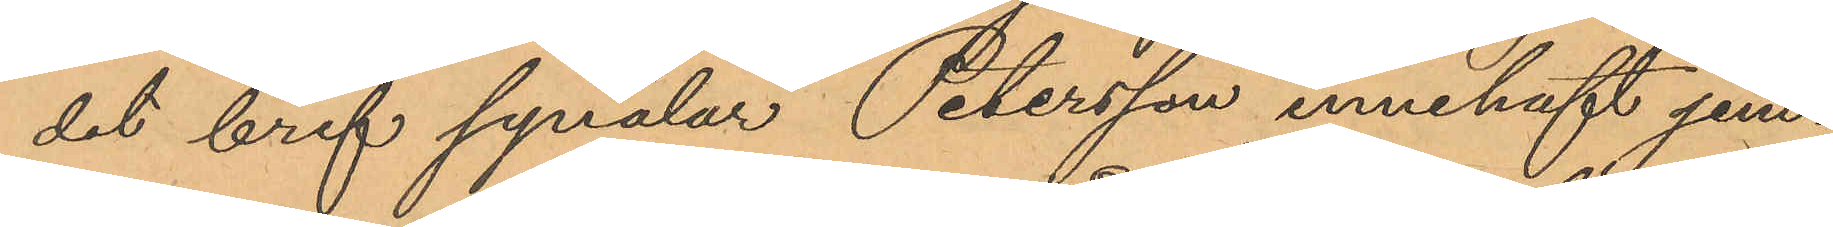det bref synålar Petersson innehaft jem¬
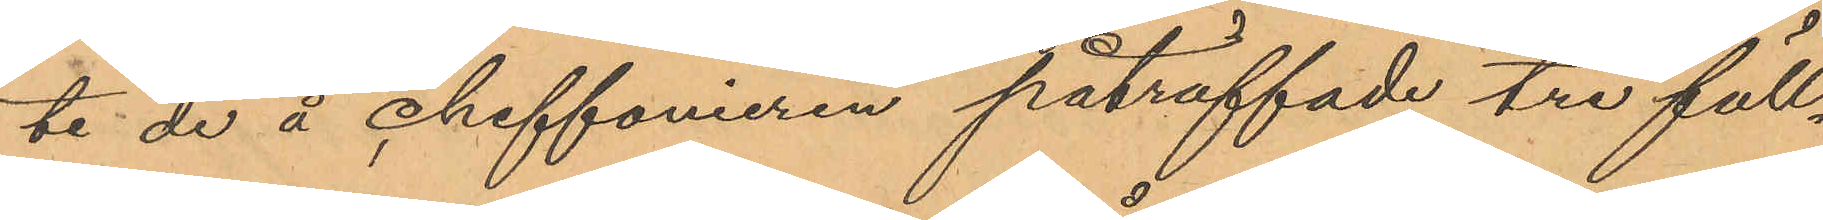te de å chiffonieren påträffade tre fäll¬
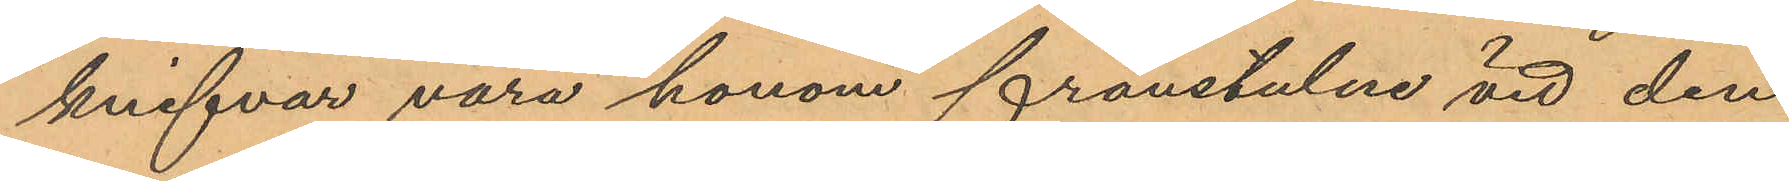knifvar vara honom frånstulne vid den
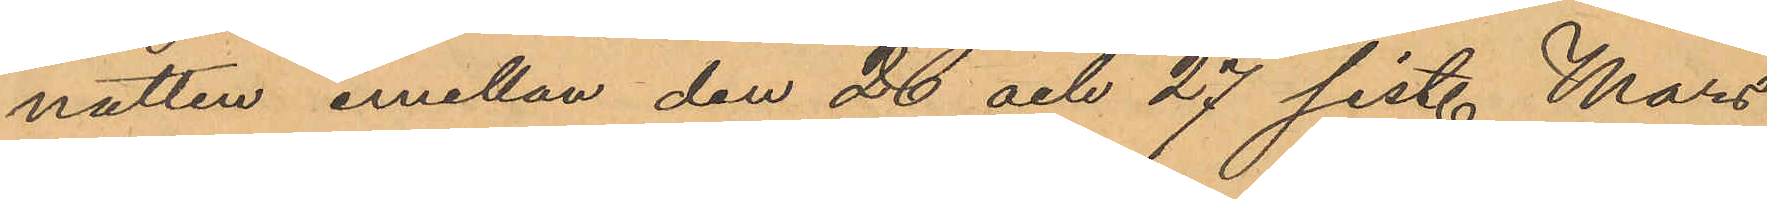natten emellan den 26 och 27 sist. Mars
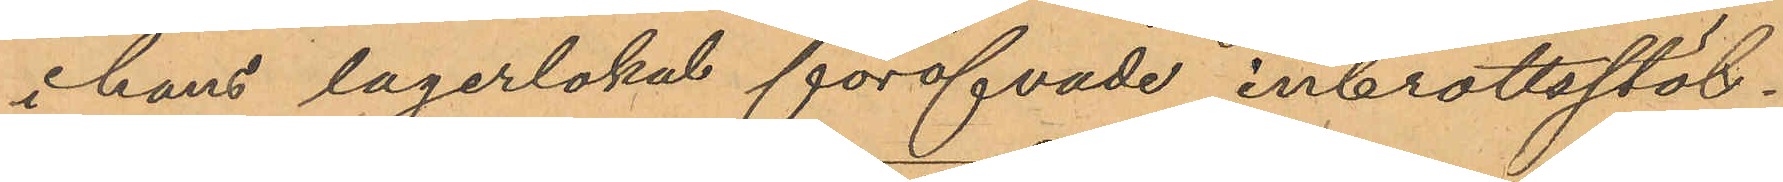i hans lagerlokal föröfvade inbrottsstöl¬
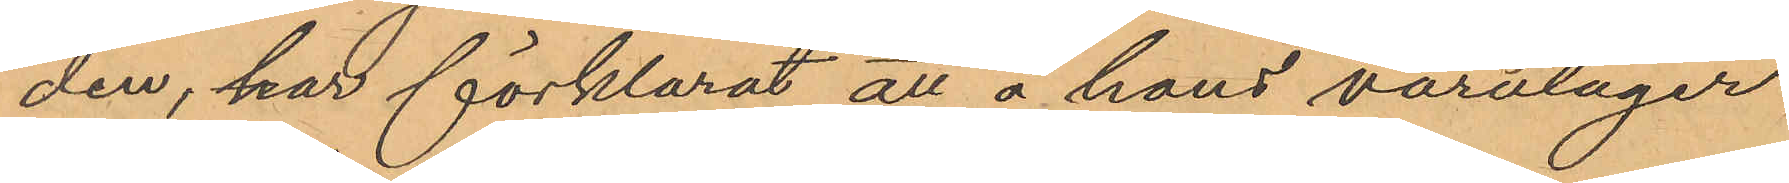den, har förklarat att å hans varulager
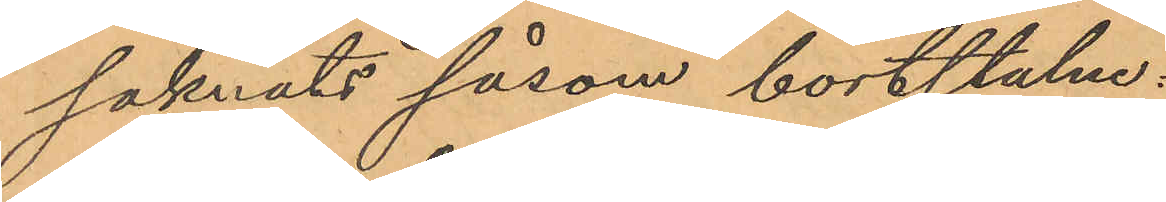saknats såsom bortstulne:
